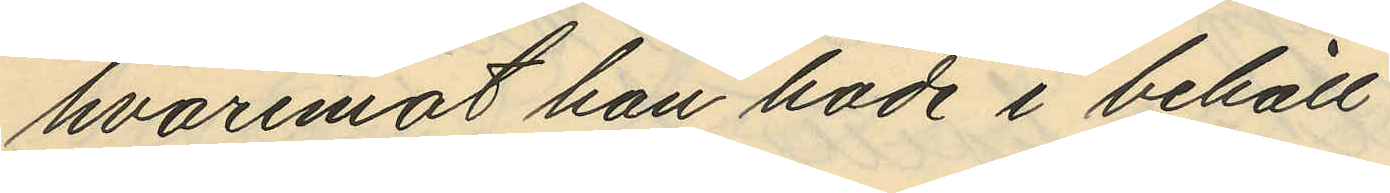hvaremot hon hade i behåll
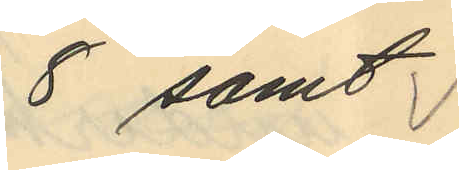8 samt
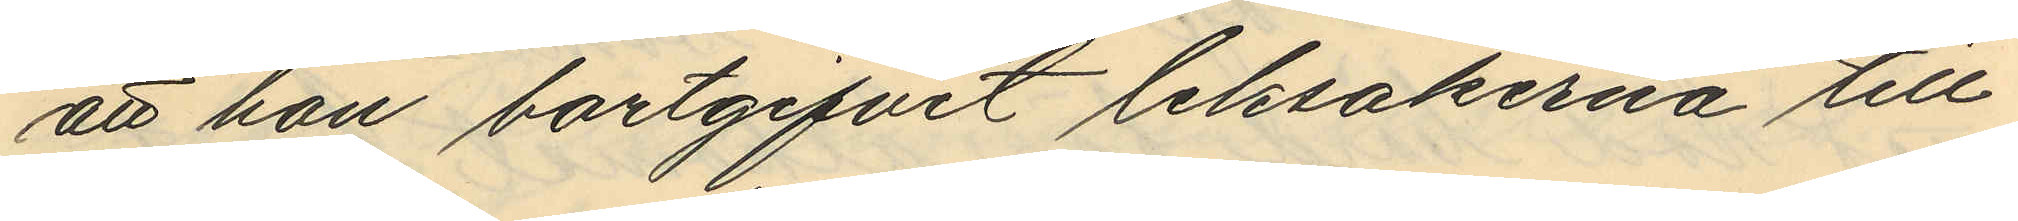att hon bortgifvit leksakerna till
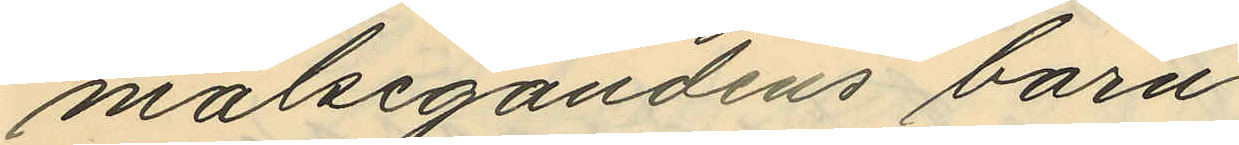målsegandens barn.
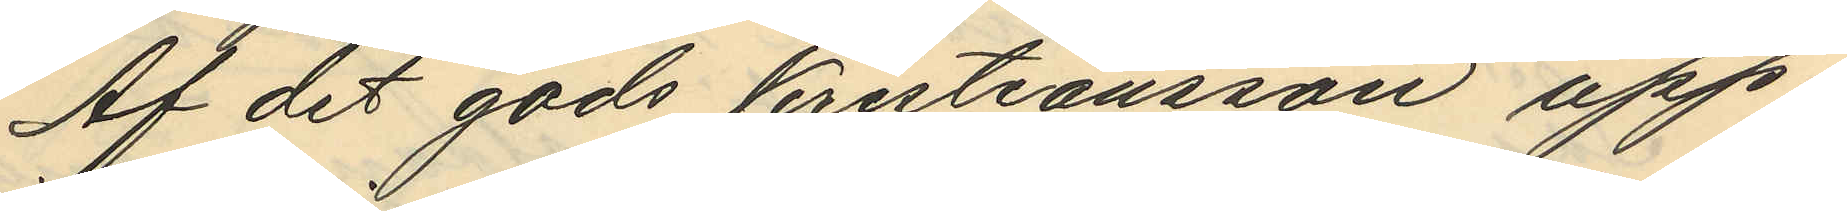Af det gods Kristiansson upp¬
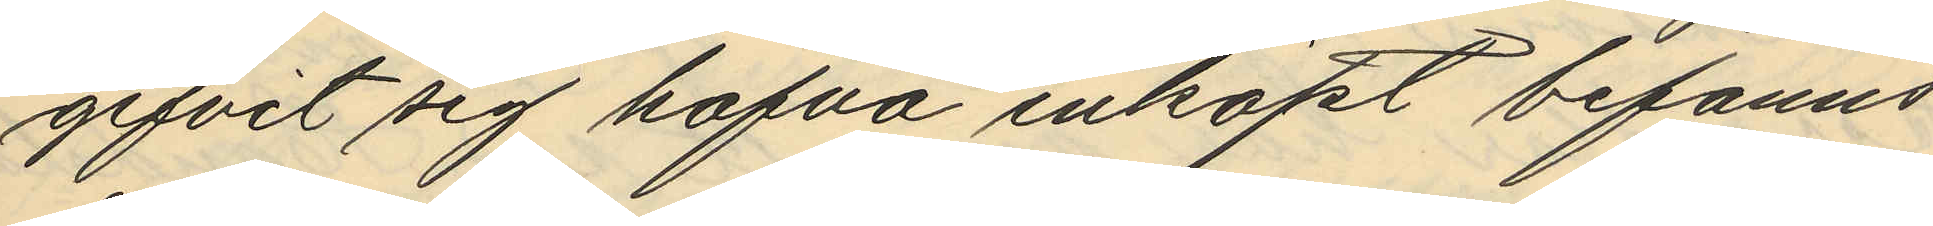gifvit sig hafva inköpt befanns
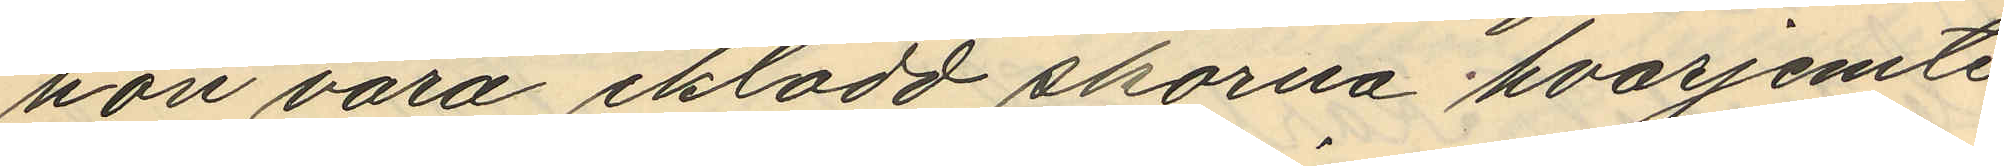hon vara iklädd skorna hvarjemte
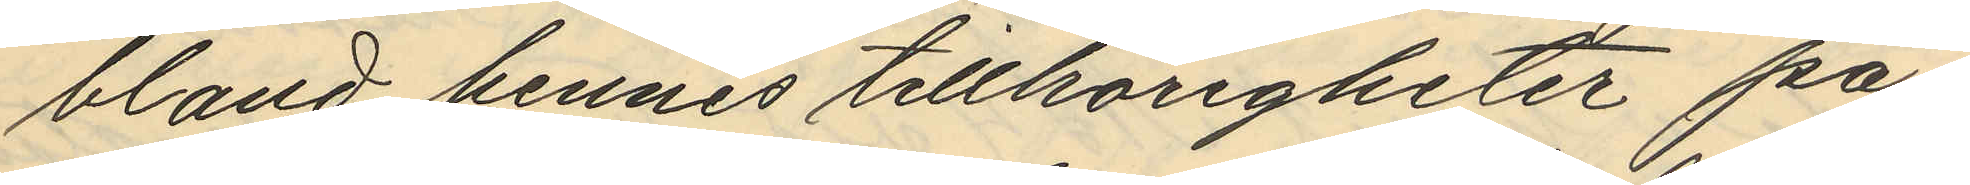bland hennes tillhörigheter på¬
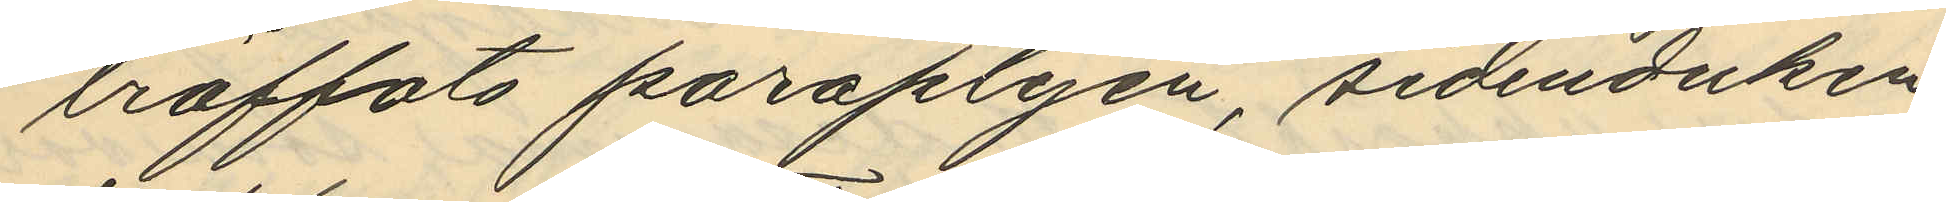träffats paraplyen, sidenduken,
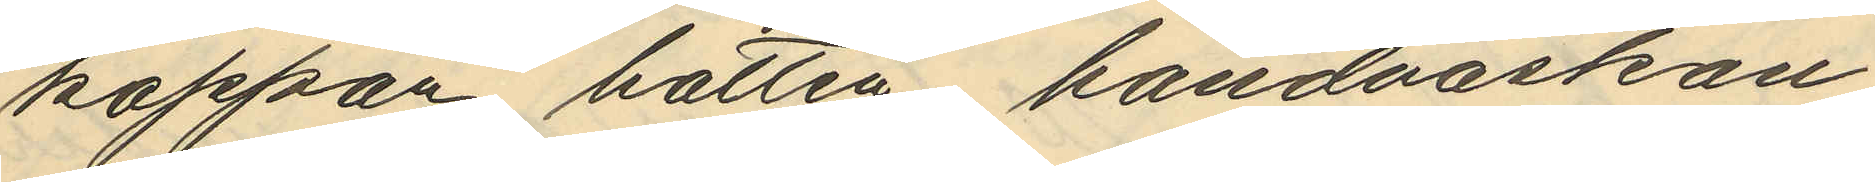kappan, hatten, handväskan,
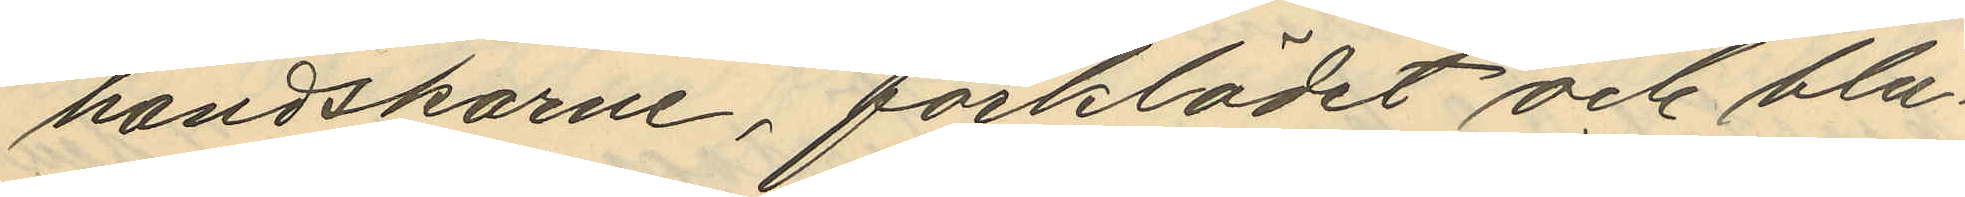handskarne, förklädet och blu¬
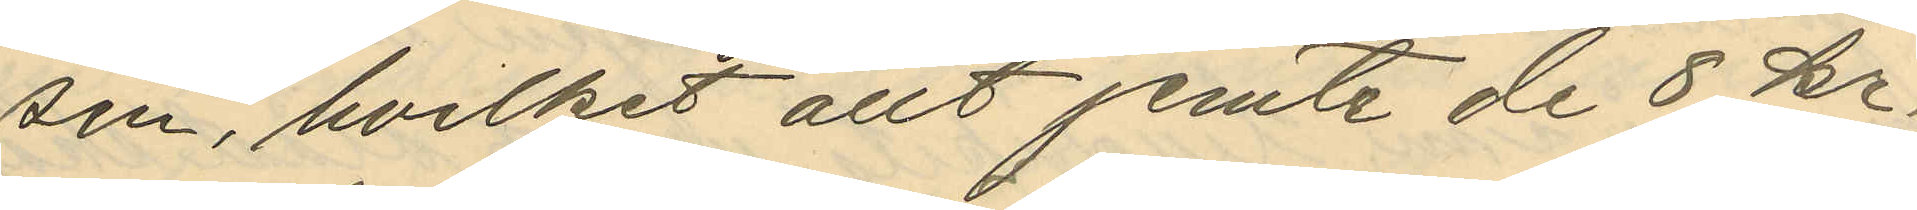sen, hvilket allt jemte de 8 kr.
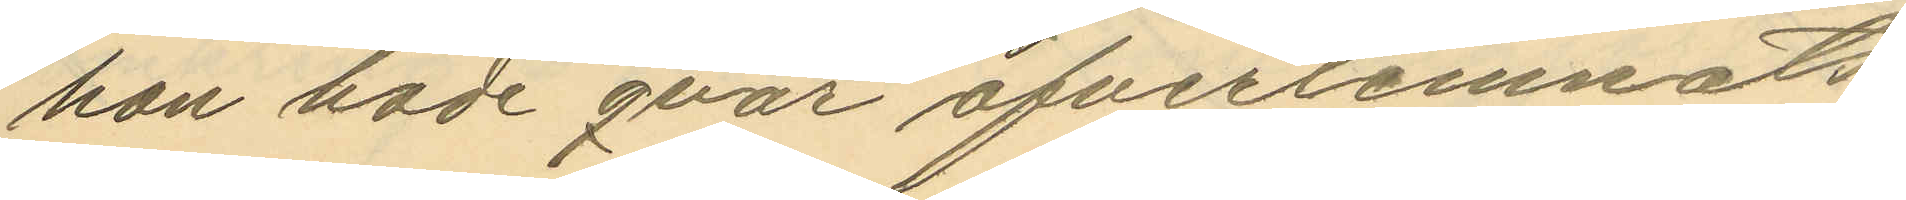hon hade qvar öfverlemnats
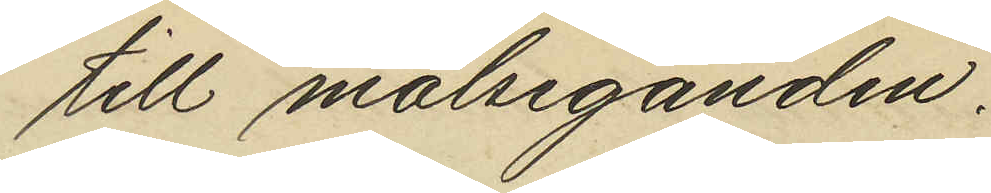till målseganden.
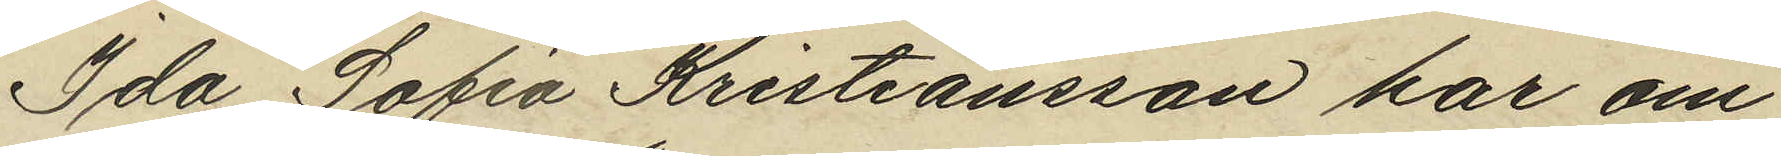Ida Sofia Kristiansson har om
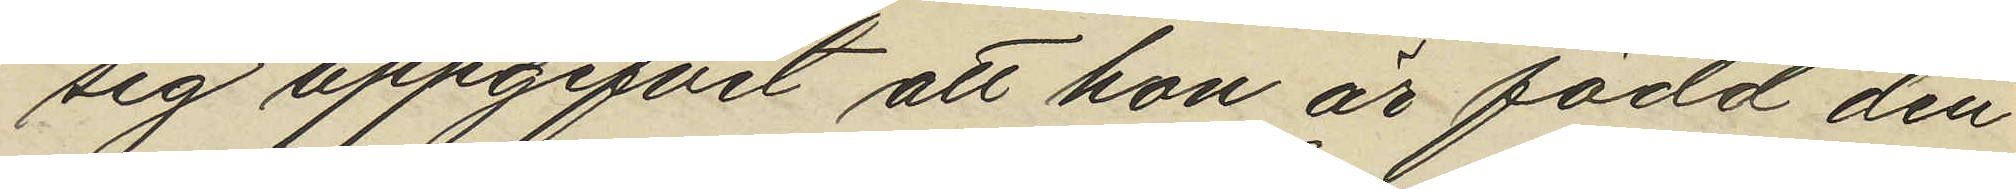sig uppgifvit att hon är född den
